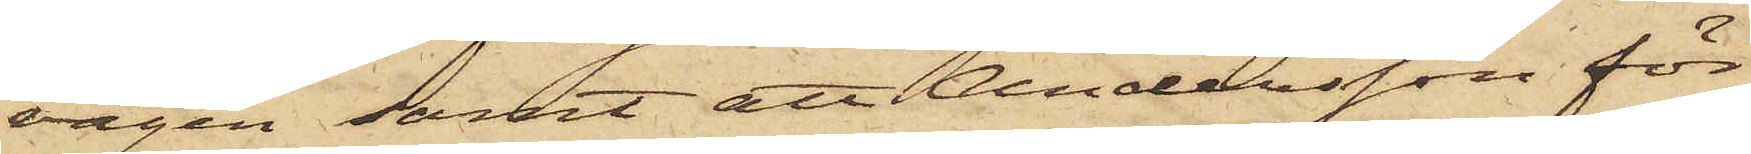vägen samt att Andersson för
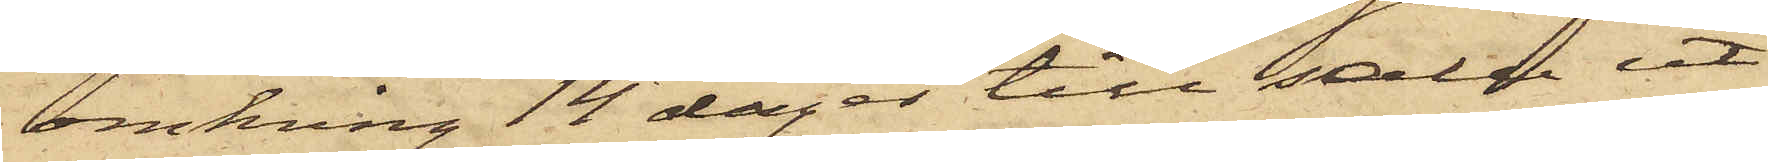omkring 14 dagar till salu ut¬
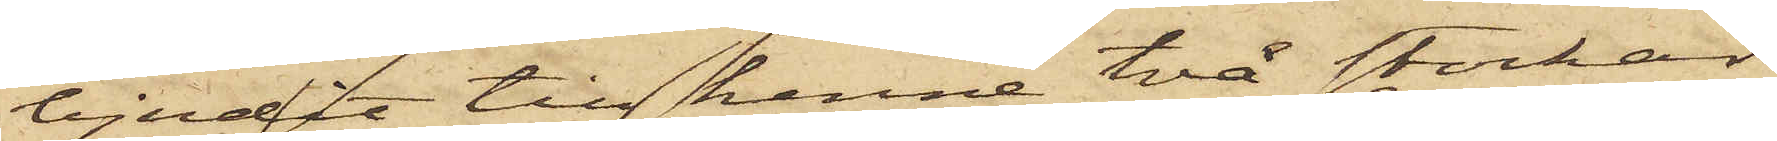bjudit till henne två stockar
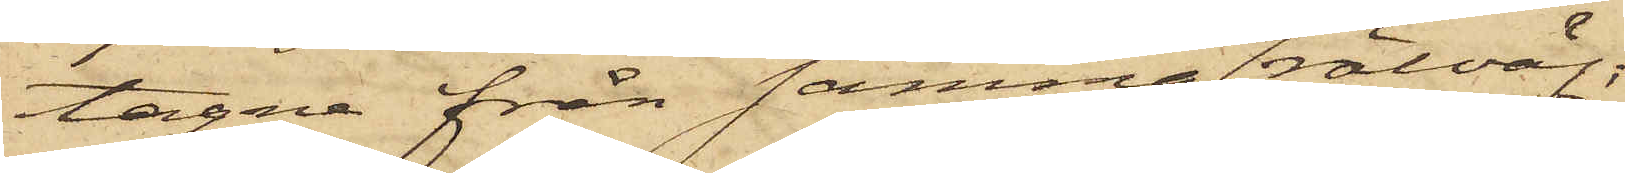tagne från samma rälväg;
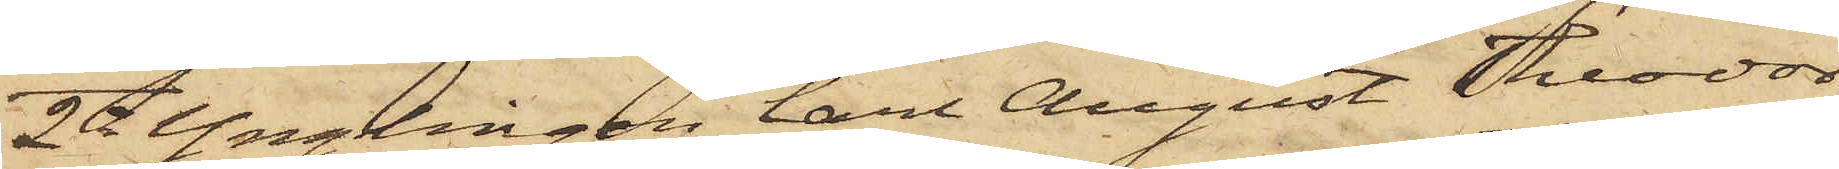2o Ynglingen Carl August Teodor
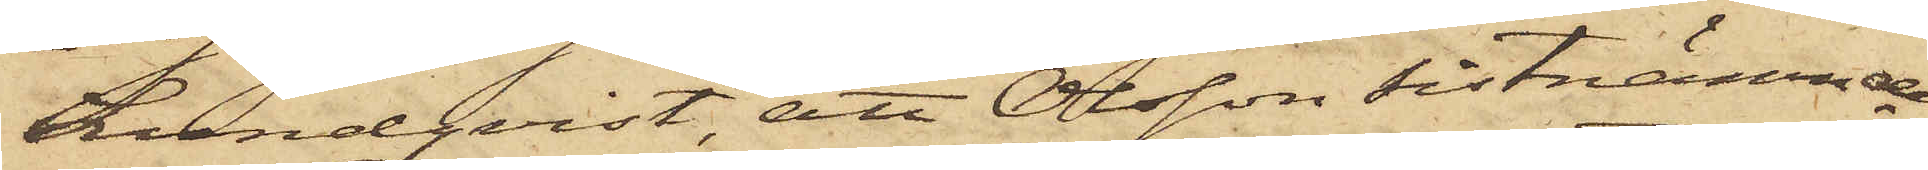Lundqvist att Olsson sistnämnde
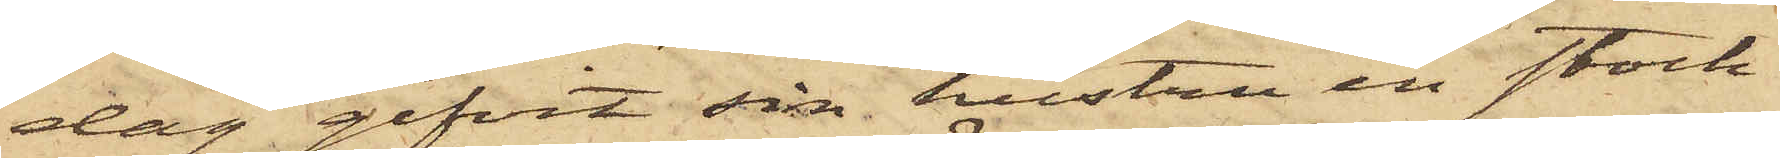dag gifvit sin hustru en stock,
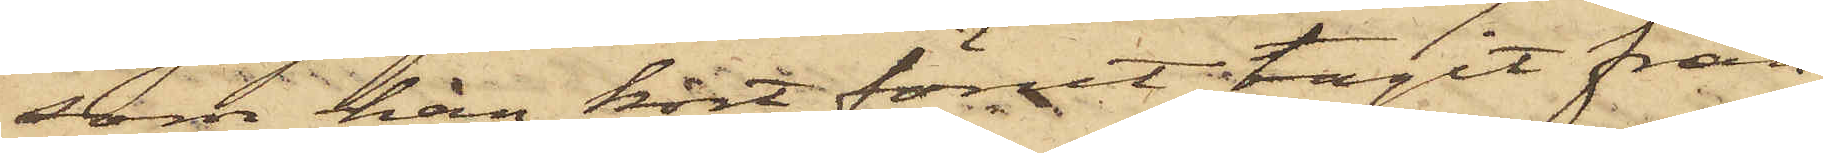som han kort förut tagit från
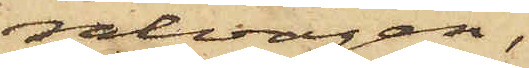rälvägen.
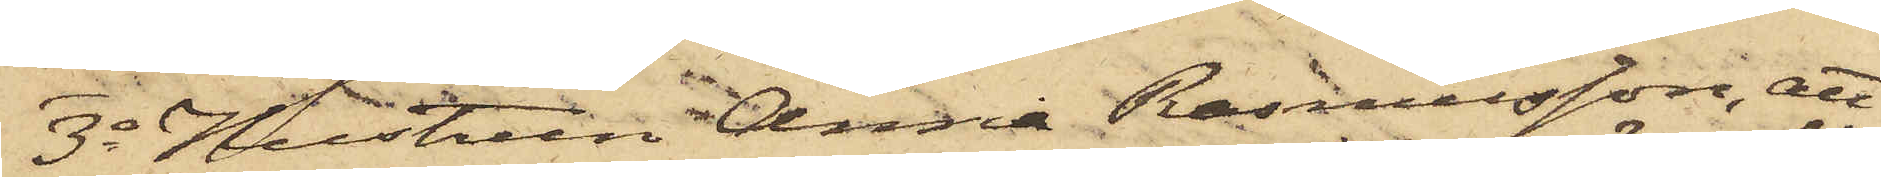3o Hustrun Anna Rasmusson, att
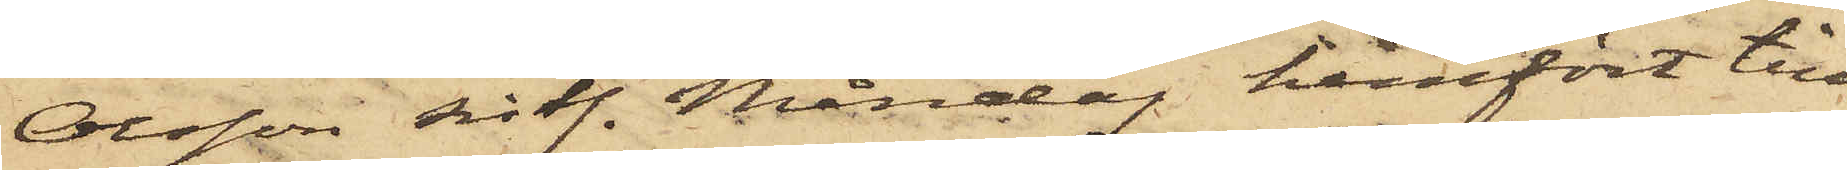Olsson sistl. Måndag hemfört till
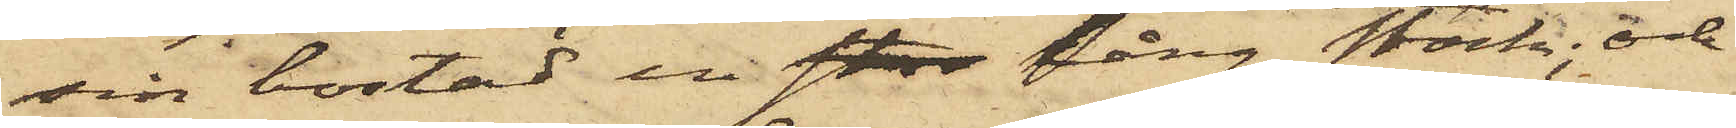sin bostad en stor lång stock; och
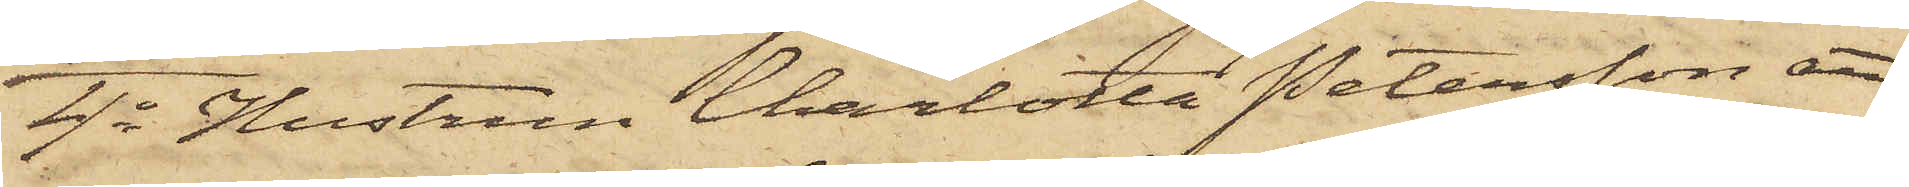4o Hustrun Charlotta Petersson att
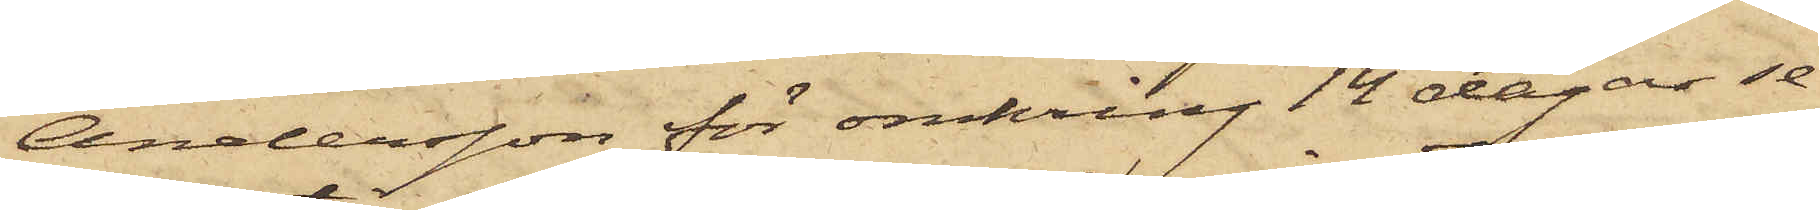Andersson för omkring 14 dagar se¬
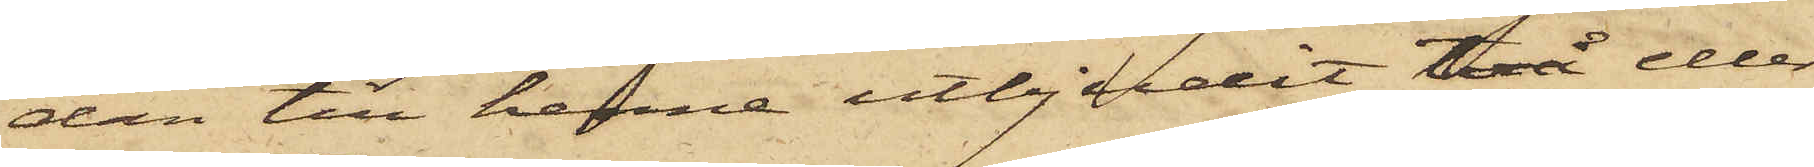dan till henne utbjudit två eller
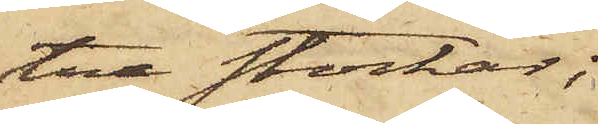tre stockar;
